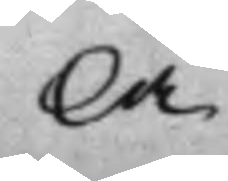la
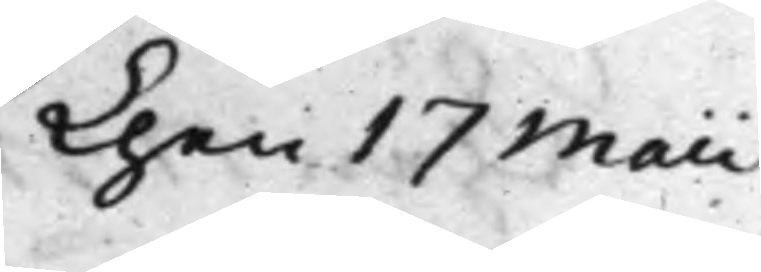Then 17 Maii
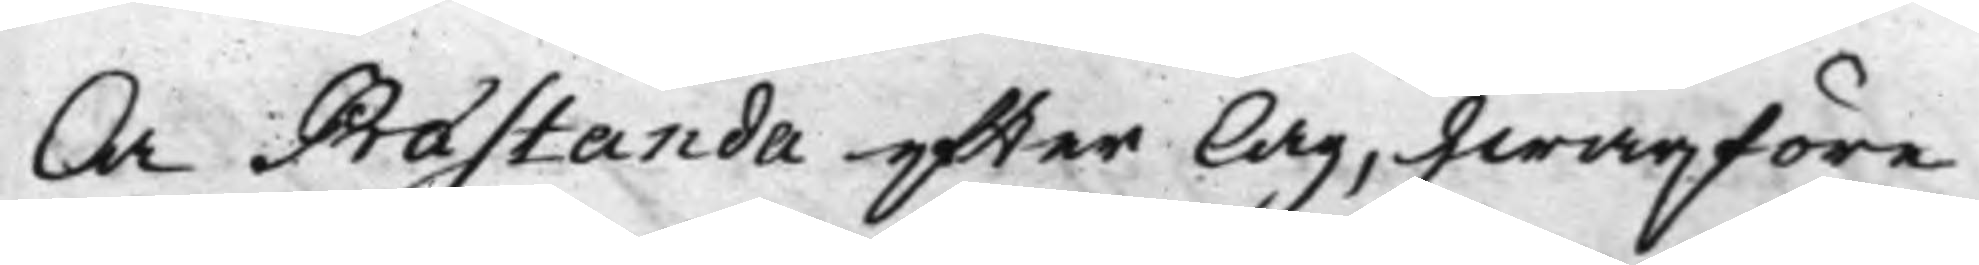la Præstanda efter lag, hwarföre
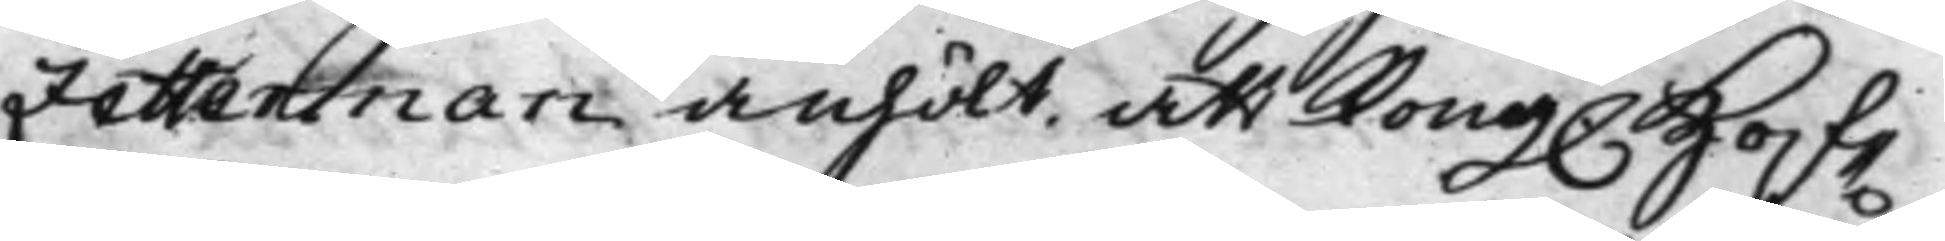Zetterman anhölt, att Kong. Hof¬
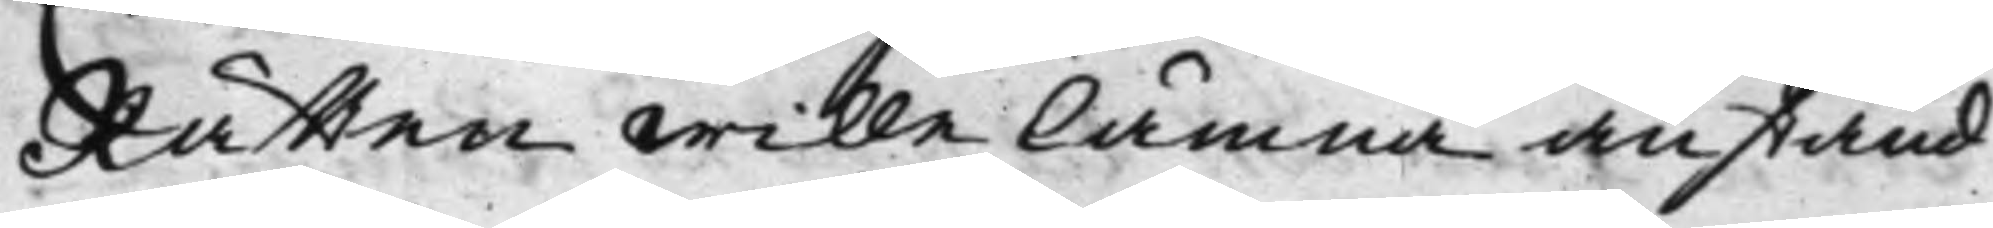Rätten wille lämna anstånd
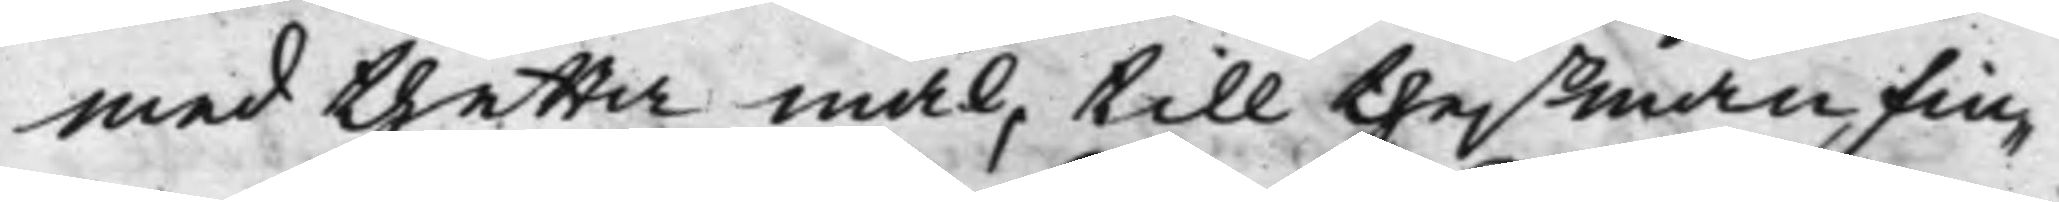med thetta mål, till theß man fin¬
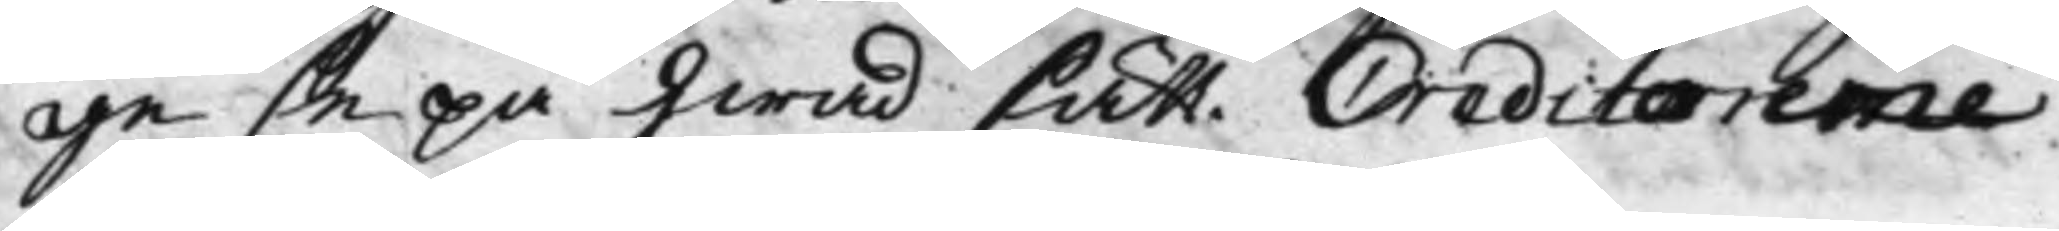ge se på hwad sätt Creditorerne
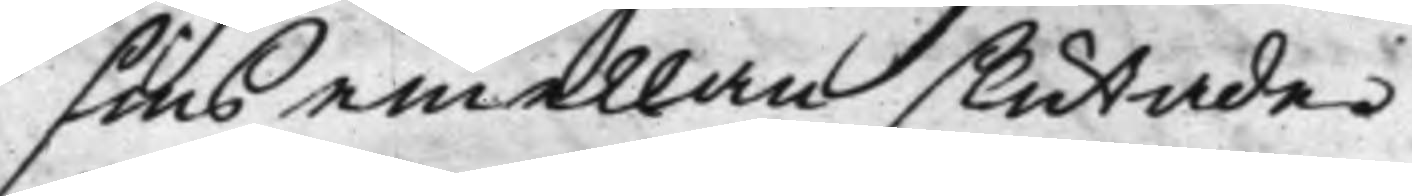sins emellan slutade.
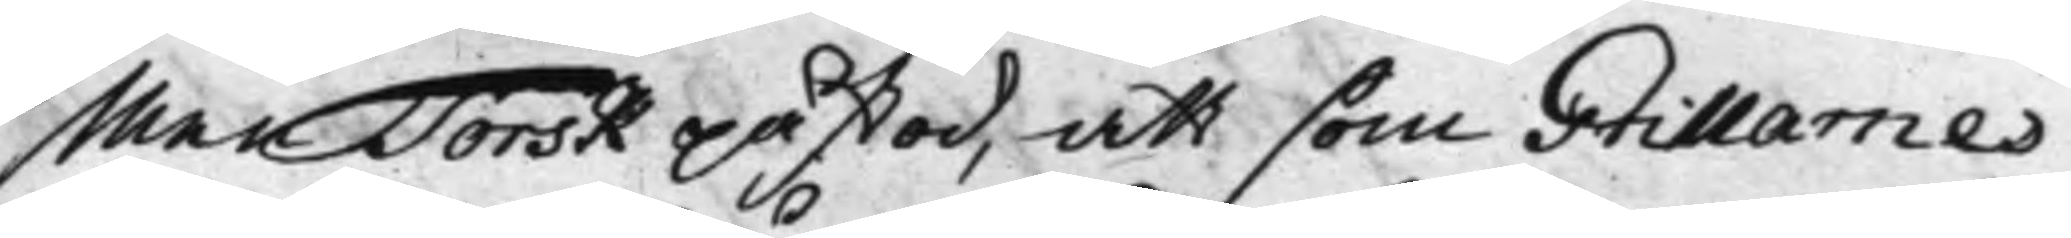Men Torsk påstod, att som Grillarnes
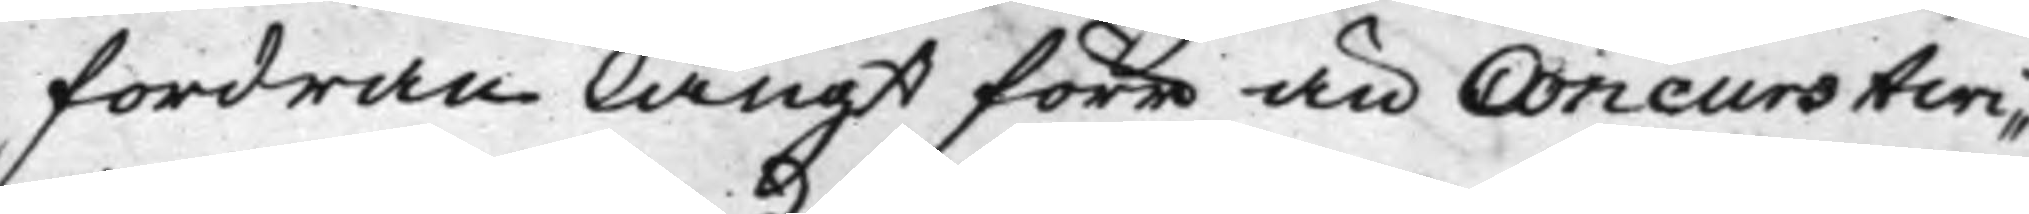fordran långt förr än Concurstwi¬
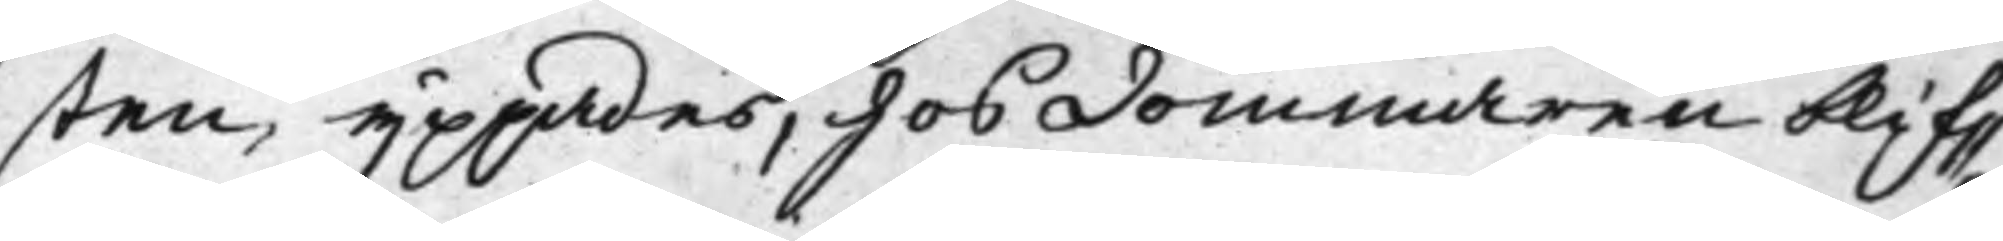sten yppades, hos dommaren blif¬
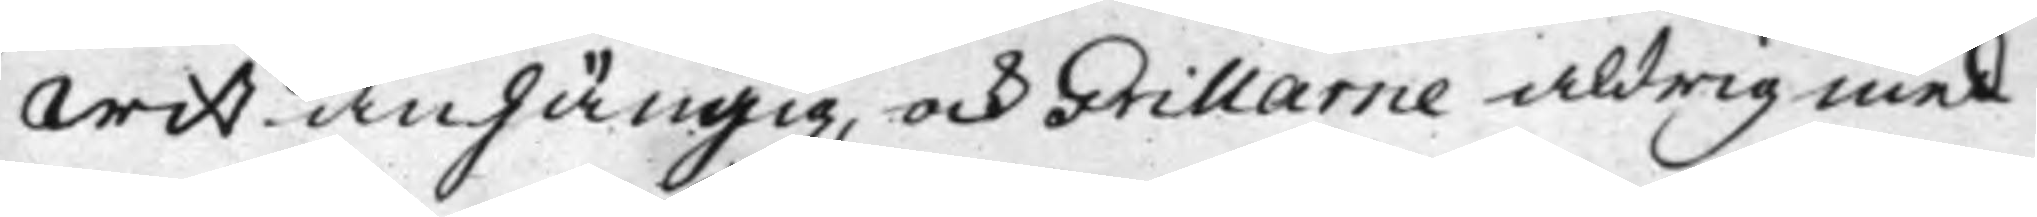wit anhängig, och Grillarne aldrig med
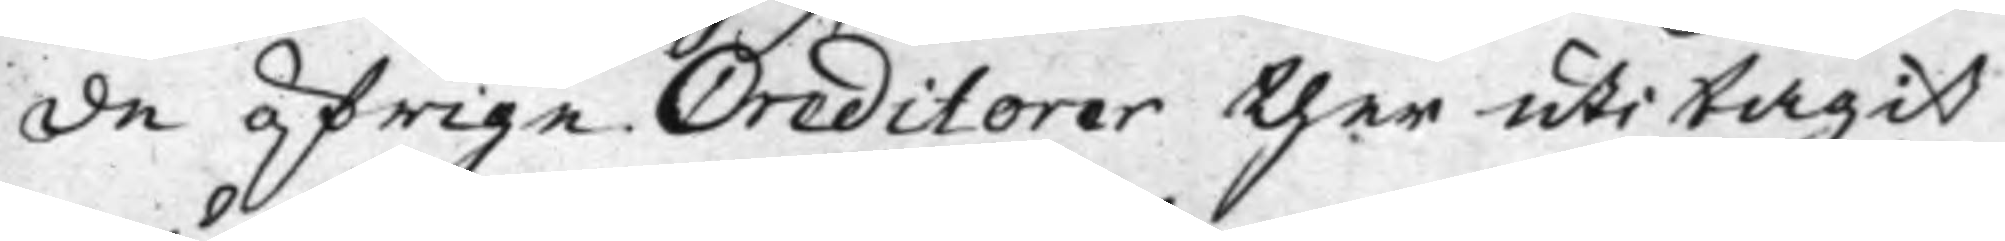de öfrige Creditorer ther uti tagit
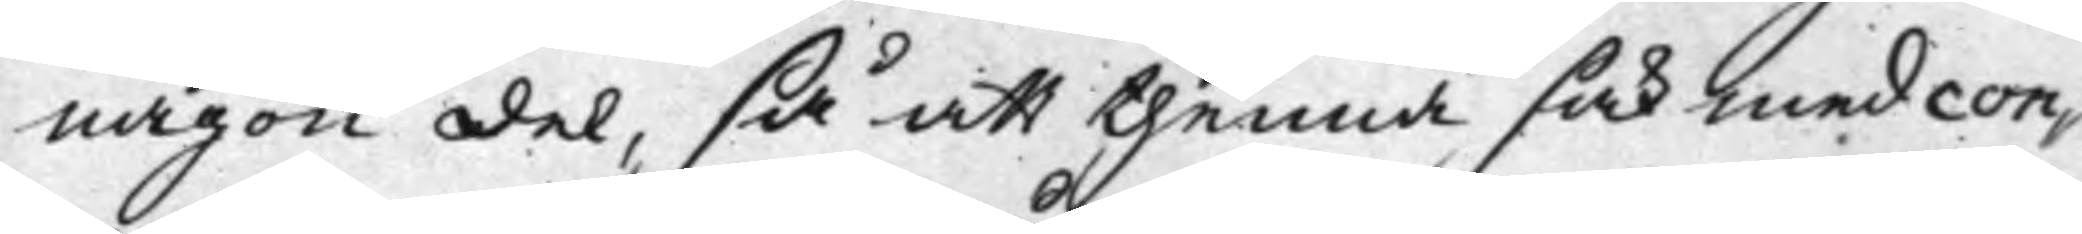någon del, så att thenna sak med con¬
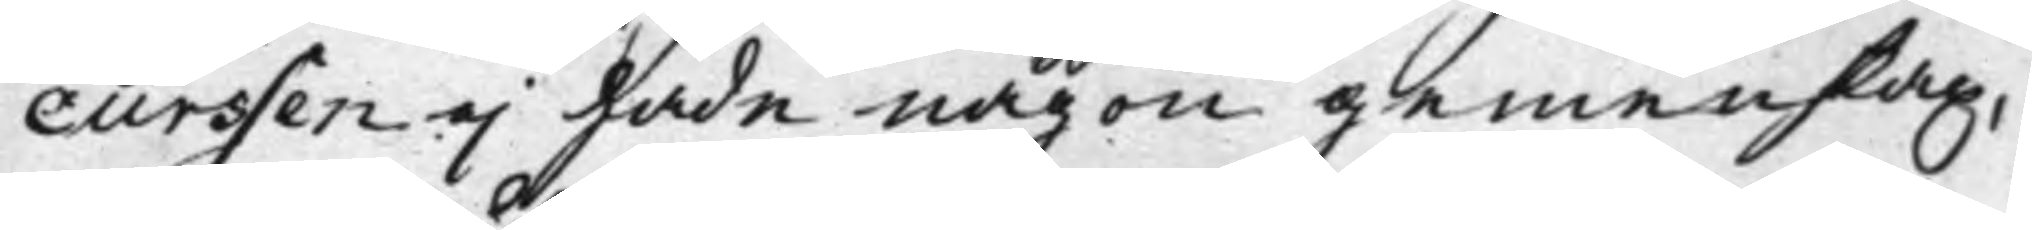curssen ej hade någon gemenskap,
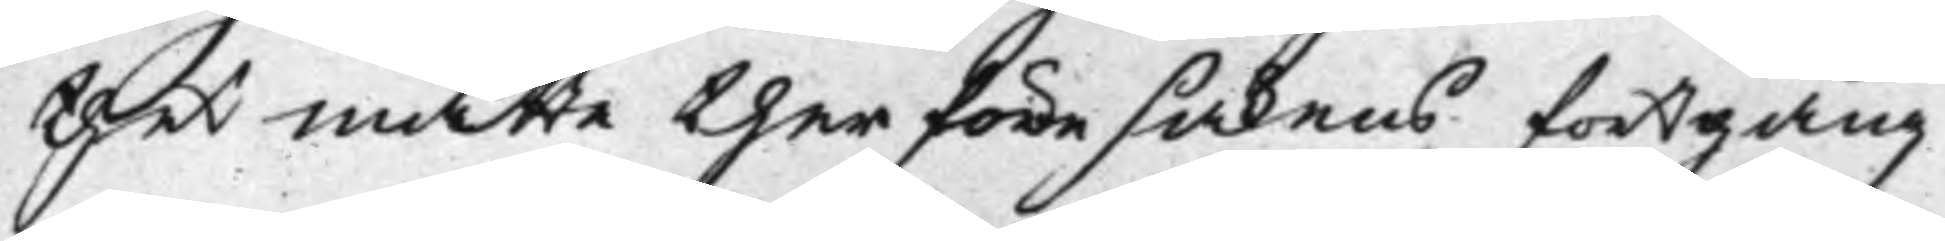thet måtte therföre sakens fortgång
